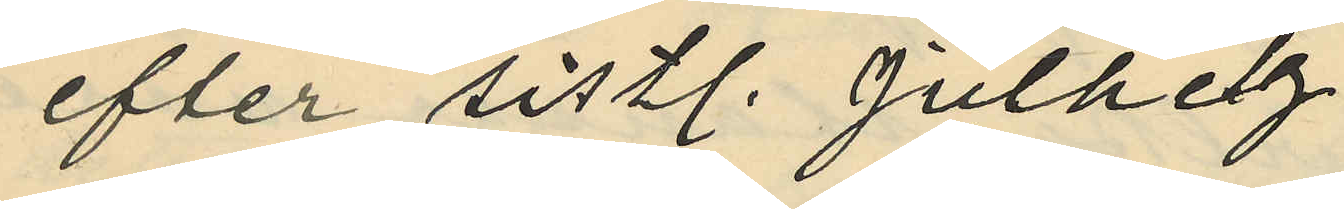efter sistl. Julhelg
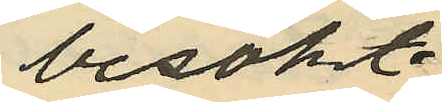besökt
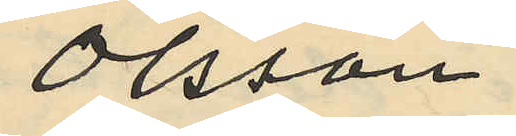Olsson
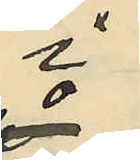i
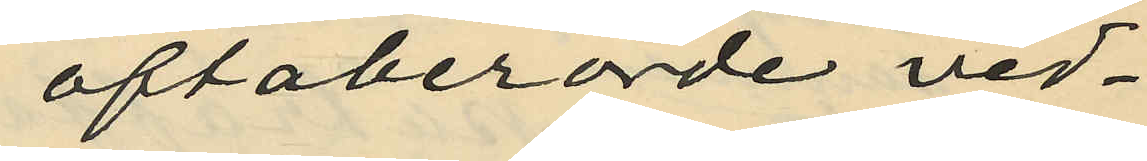oftaberörde ved¬
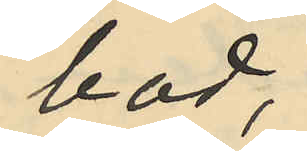bod;
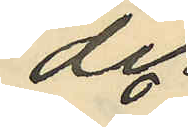der
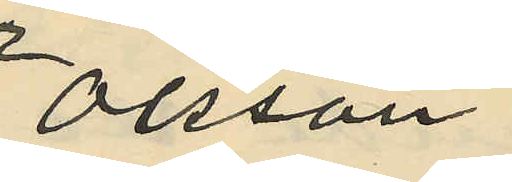Olsson
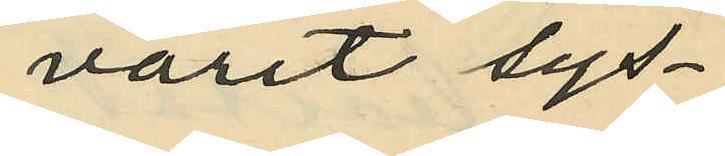varit sys¬
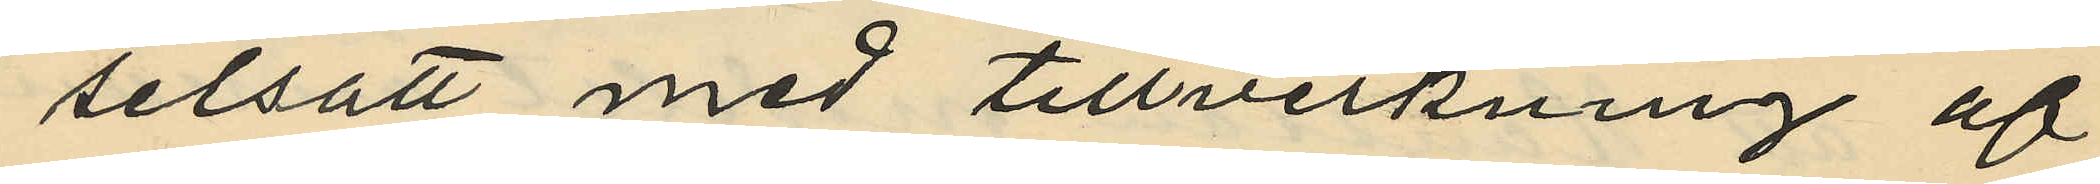selsatt med tillverkning af
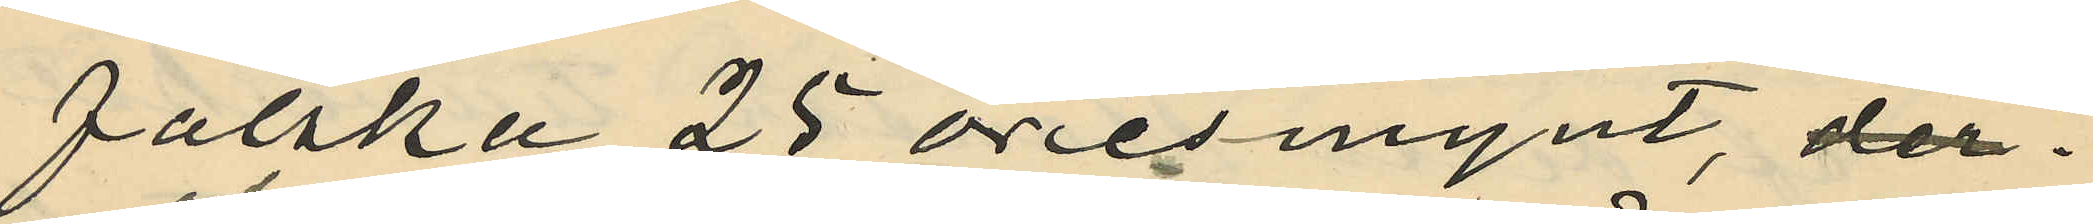falska 25 öresmynt, 
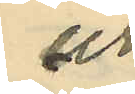och
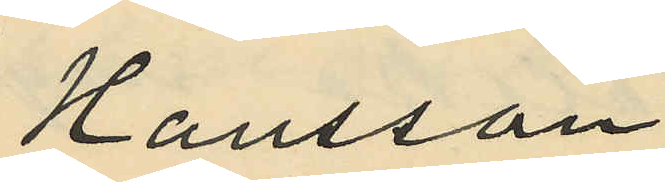Hansson
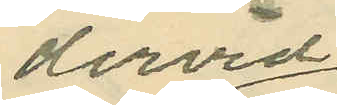dervid
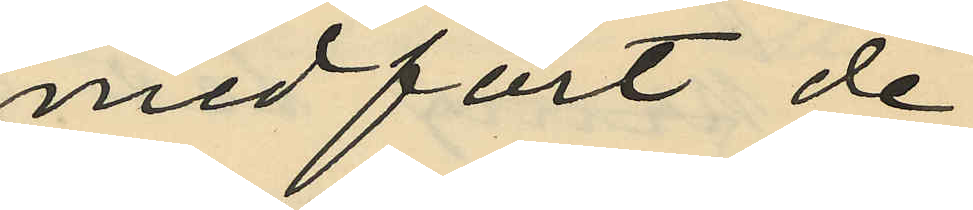medfört de
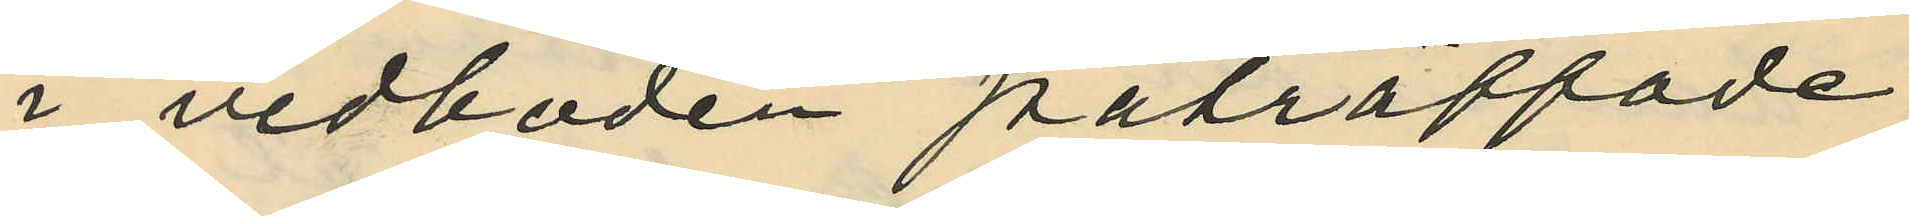i vedboden påträffade
